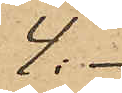4. -
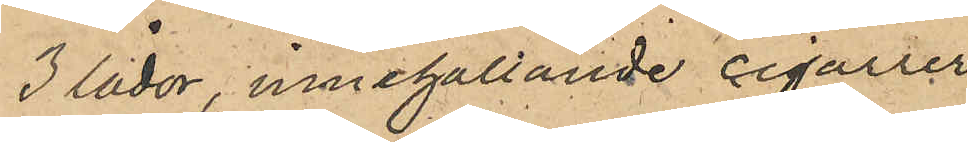3 lådor, innehållande cigarrer
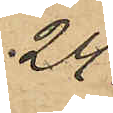24 -
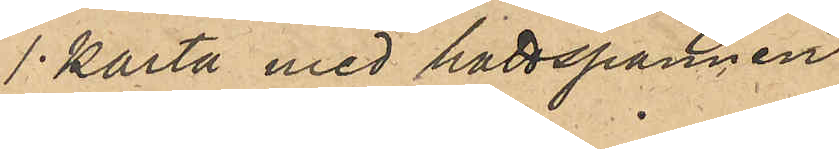1 karta med hattspännen
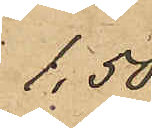1,50,
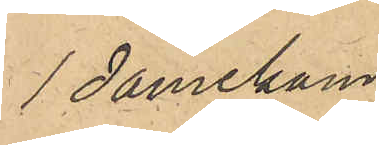1 damekam
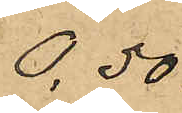0,50.
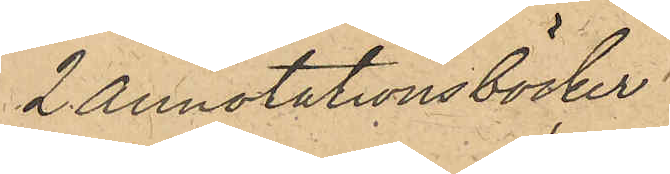2 Annotationsböcker 
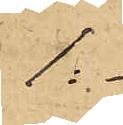1:-
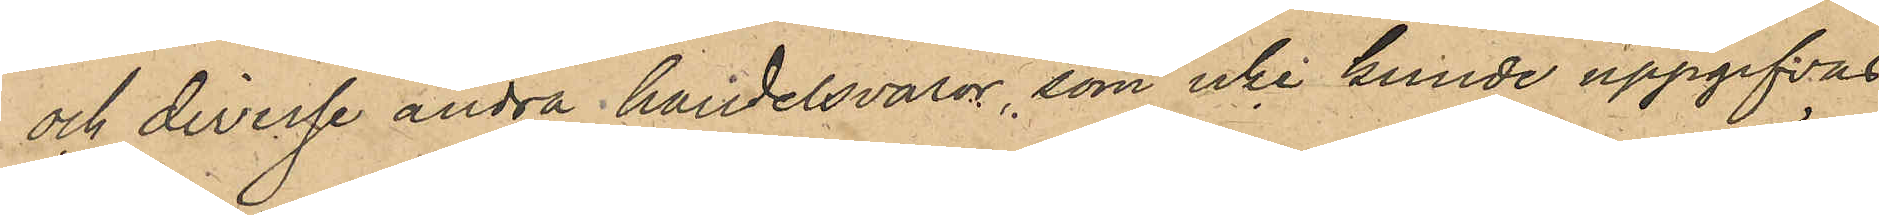och diverse andra handelsvaror, som icke kunde uppgifvas.
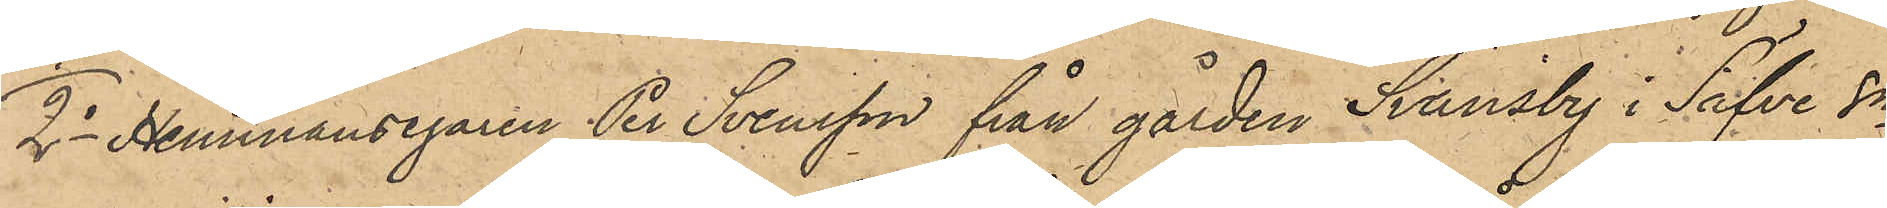2o Hemmansegaren Per Svensson från gården Svänsby i Säfve sn
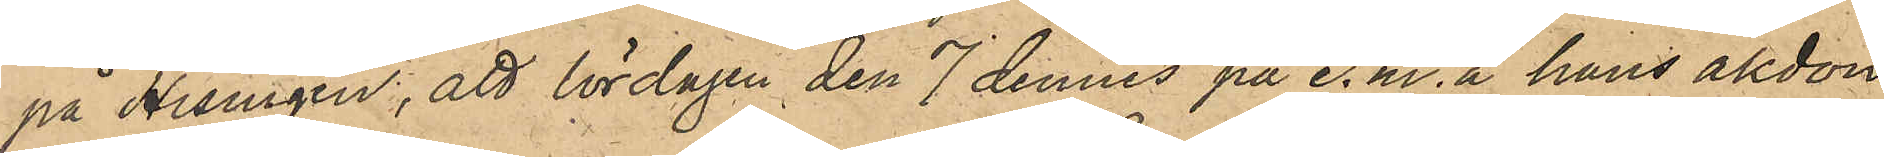på Hisingen, att lördagen den 7 dennes på e.m. å hans åkdon,
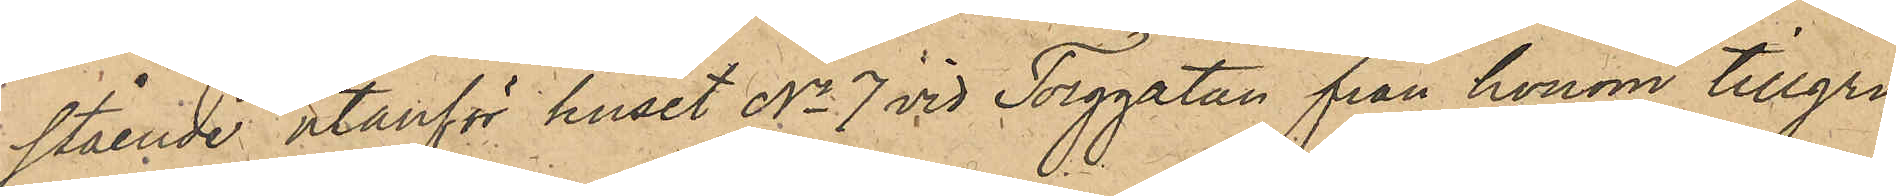stående utanför huset No 7 vid Torggatan från honom tillgri¬
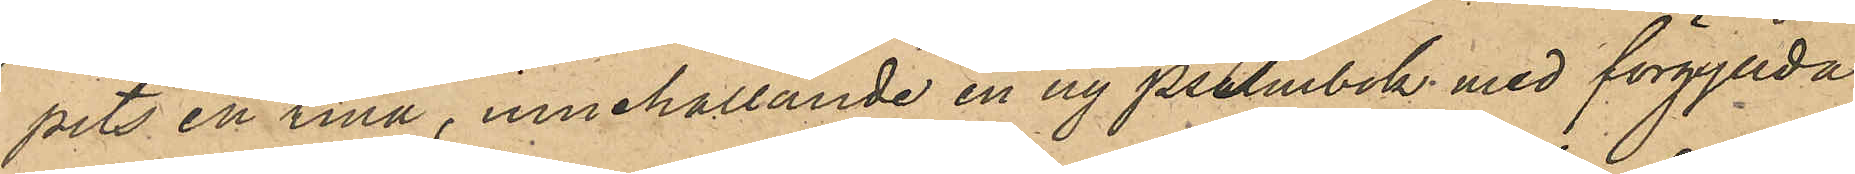pits en tina, innehållande en ny psalmbok med förgyllda
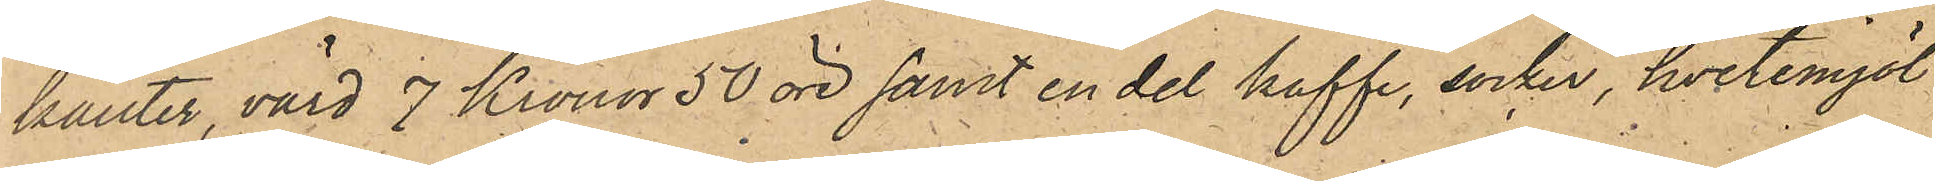kanter, värd 7 Kronor 50 öre samt en del kaffe, socker, hvetemjöl
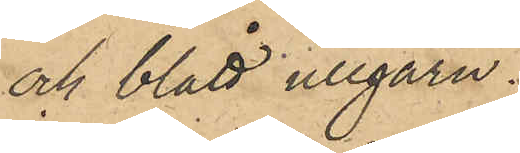och blått ullgarn.
